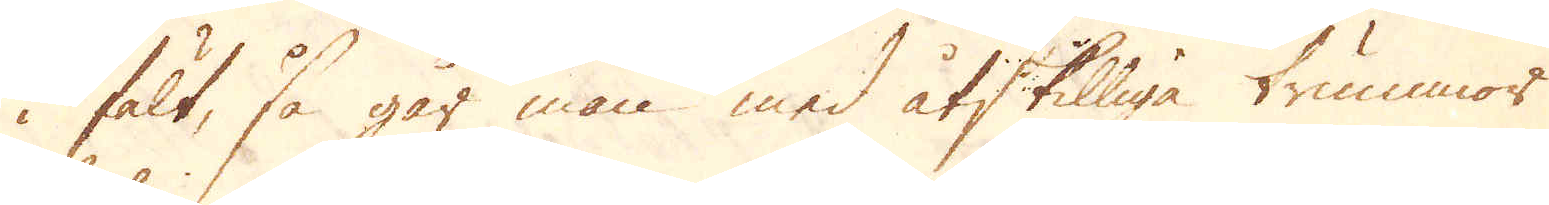i fält, så går man med åtskilliga trummor
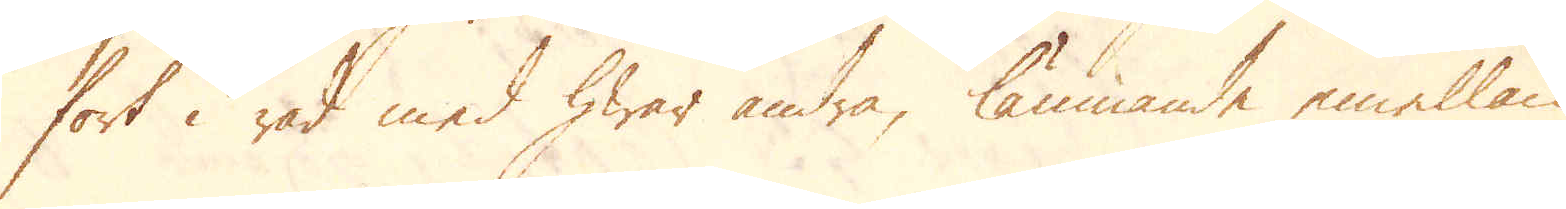fort i rad med hwar andra, lämnande emellan
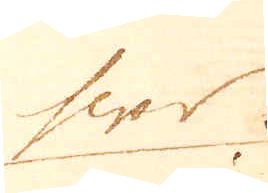hwar
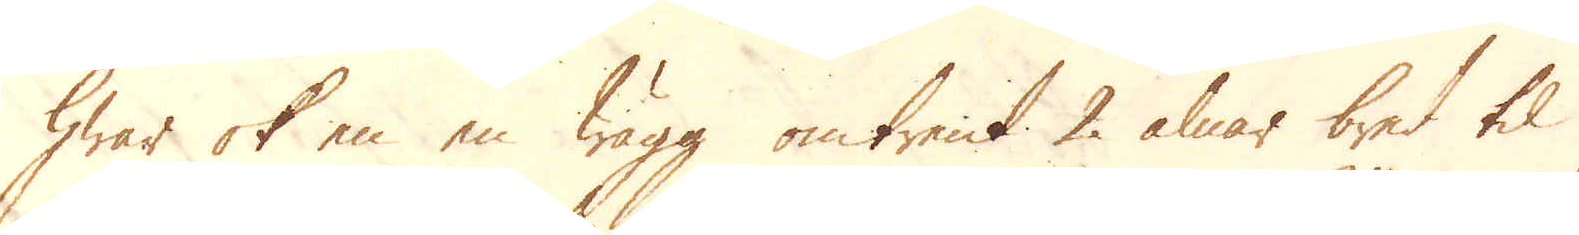hwar ok en en wägg omtrent 2 alnar bred til
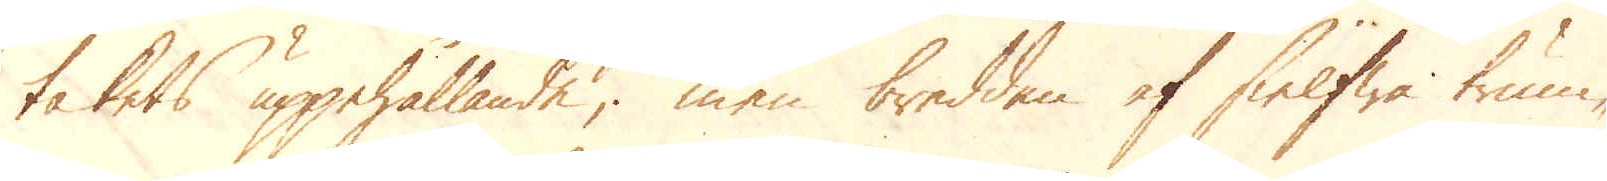takets uppehållande; men bredden af sielfwa trum-
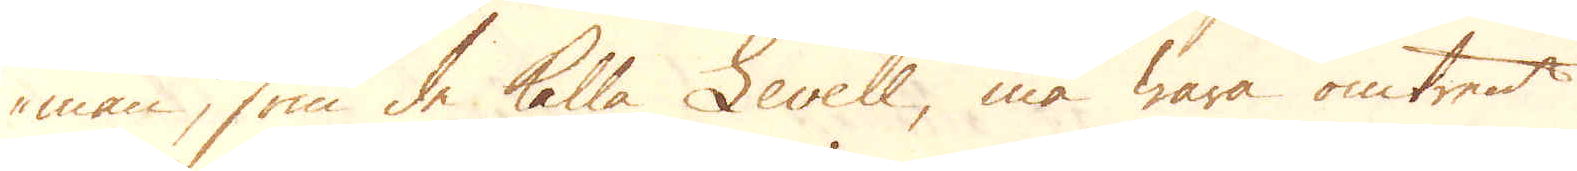man, som de kalla Levell, må wara omtrent
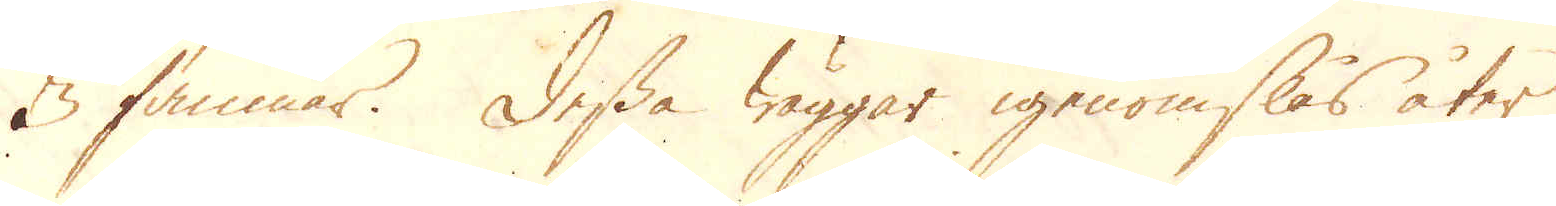3 famnar. Dessa wäggar igenomslås åter
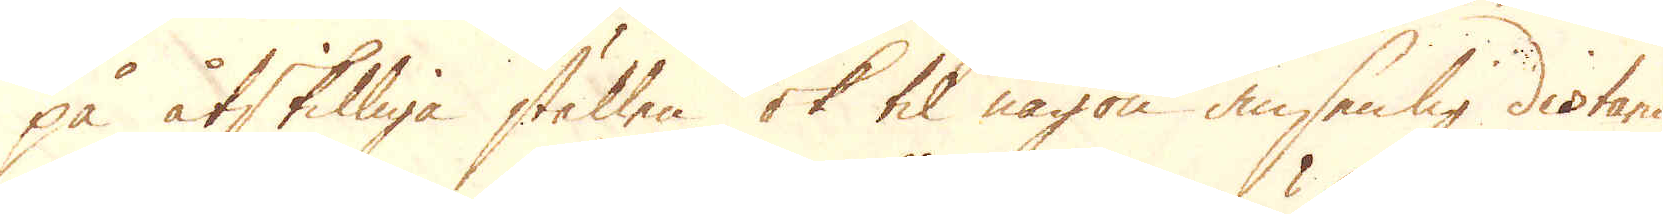på åtskilliga ställen ok til någon ansenlig distance
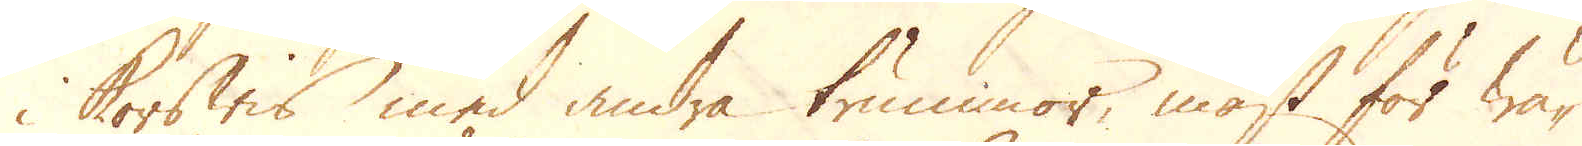i korswis med andra trummor, mäst för wä-
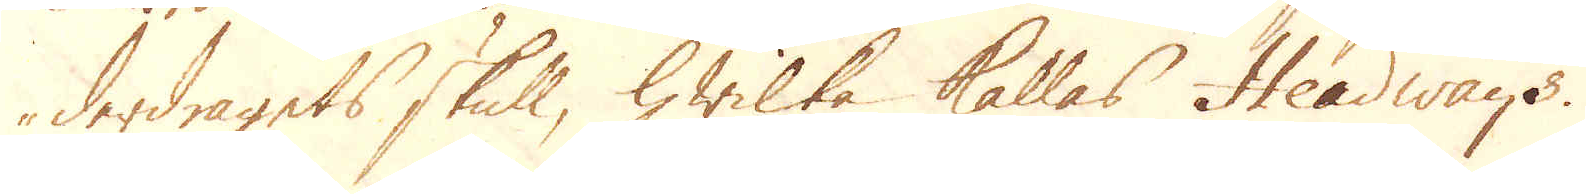derdragets skull, hwilka kallas Steadways.
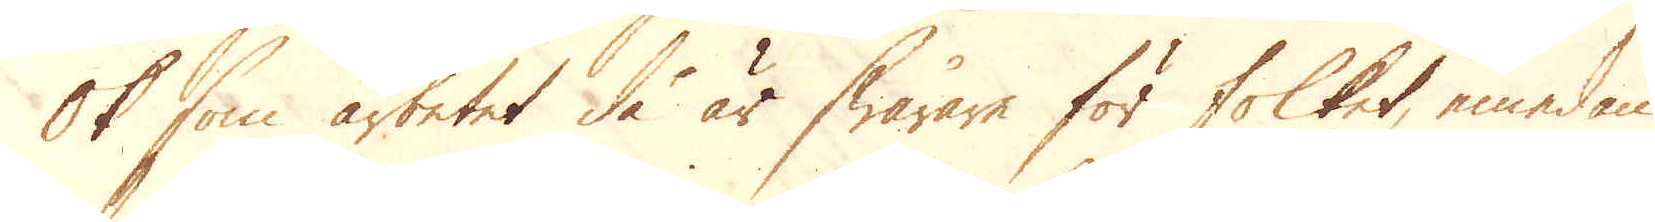Ok som arbetet de är swårare för folketm, emedan
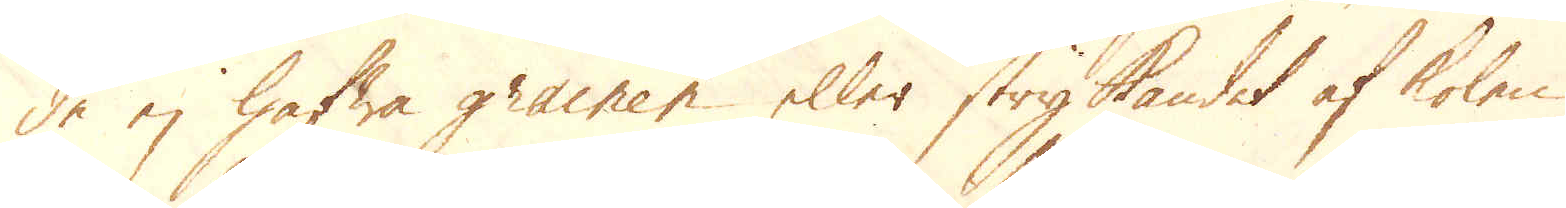de ej hafwa grainer eller strykandet af kolen
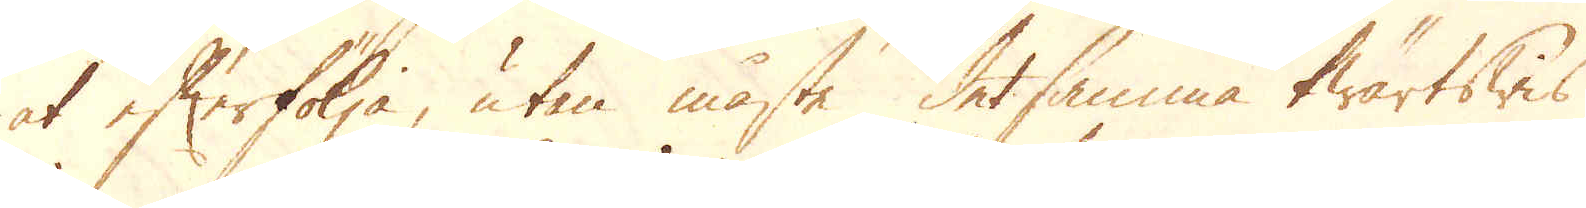at efterfölja, utan måste detsamma twärtswis
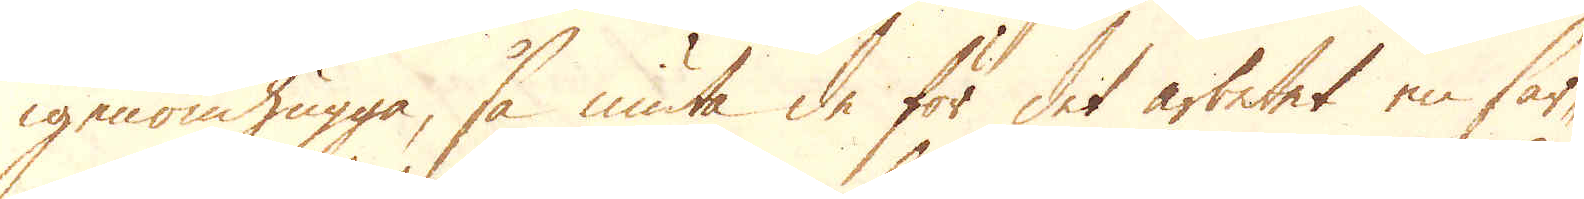igenomhugga, så niuta de för det arbetet en sär-
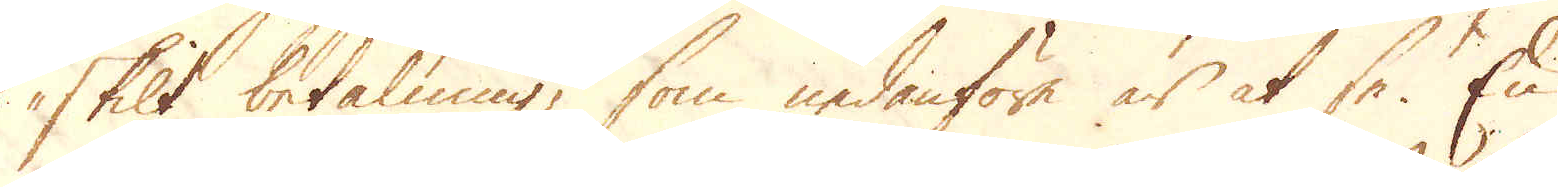skilt betalning, som nedanföre är at se. En
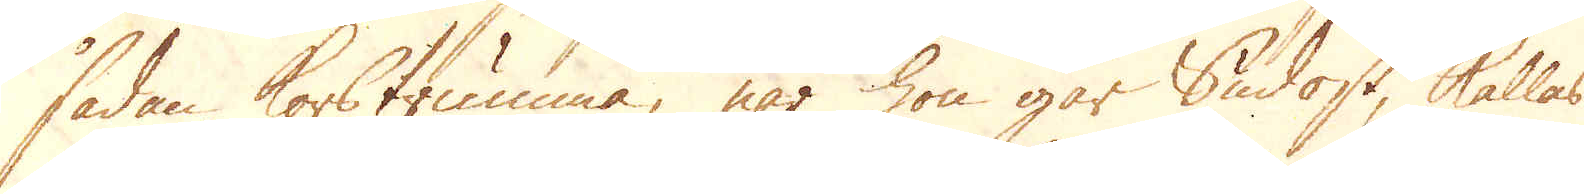sådan korstrumma, när hon går Sudost, kallas
